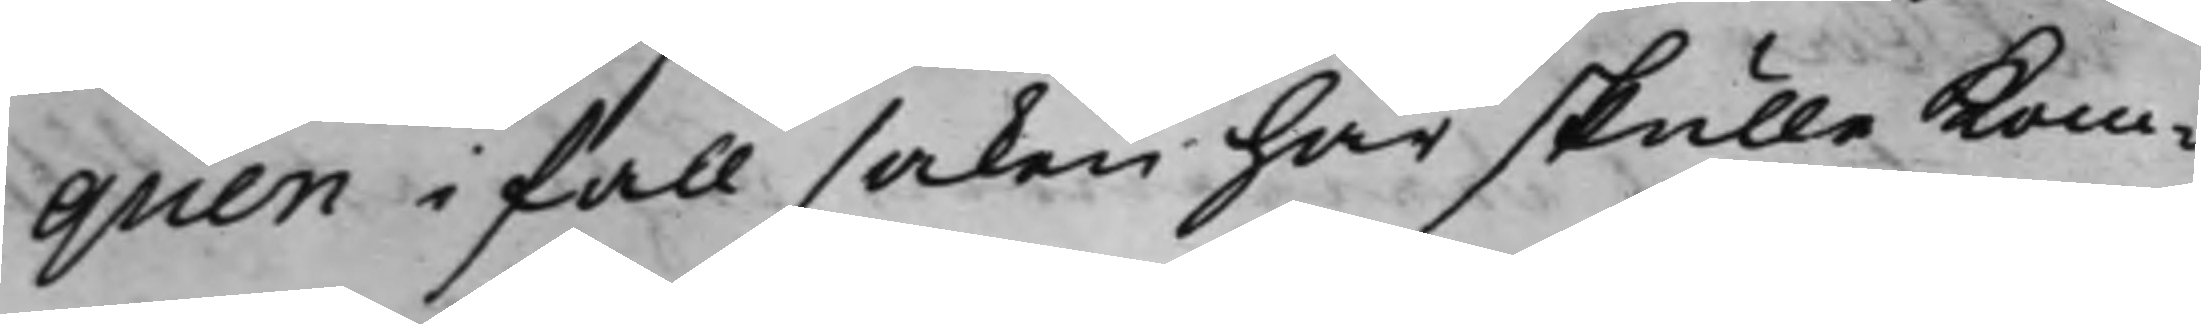quen i fall saken här skulle kom¬
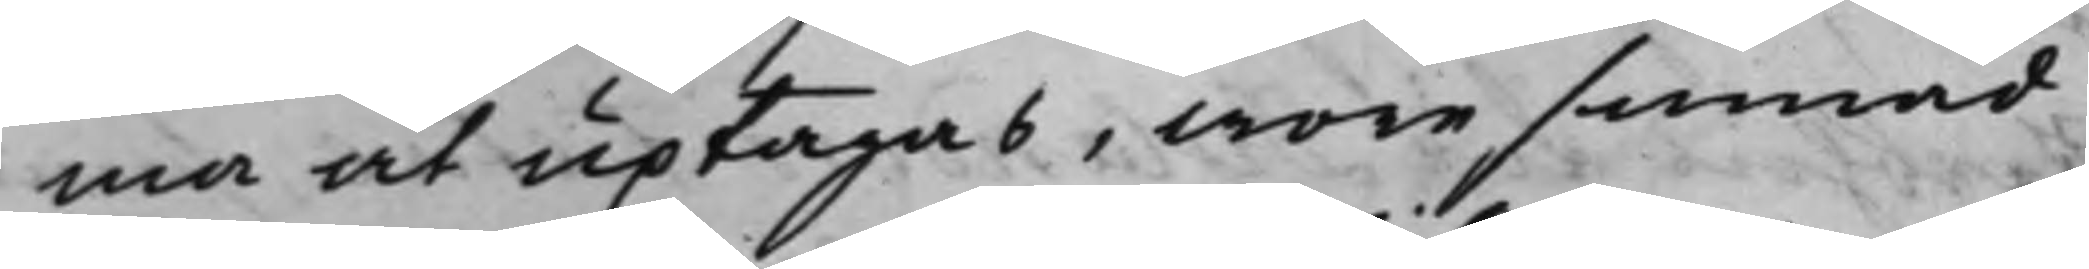ma at uptagas, wore sinnad
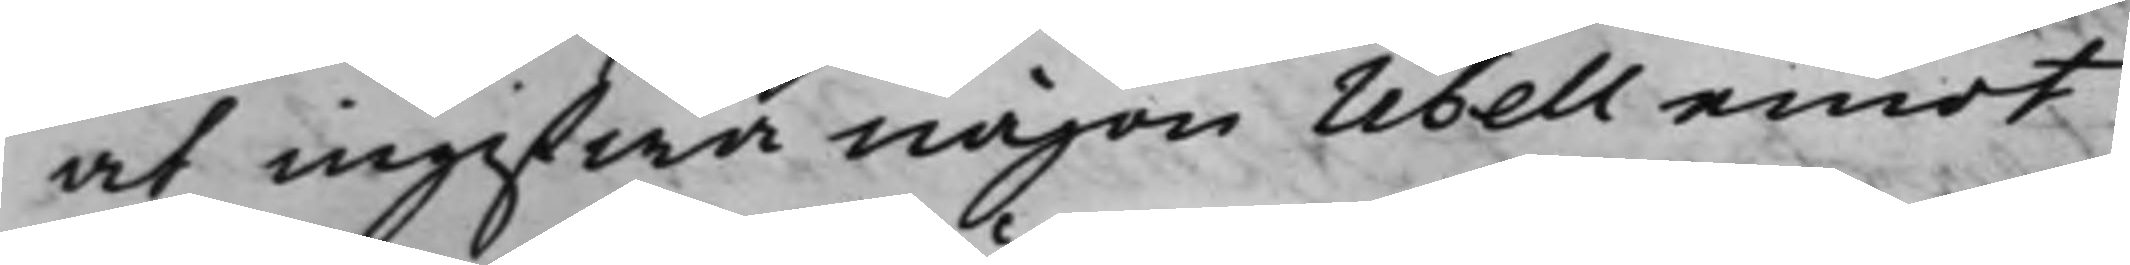at ingifwa någon libell emot
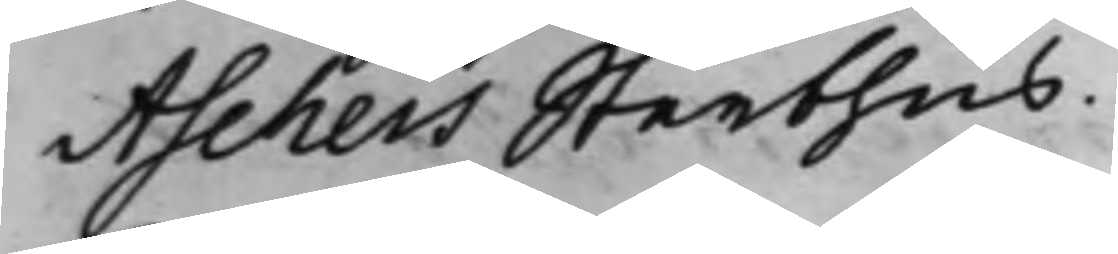Aschers Sterbhus.
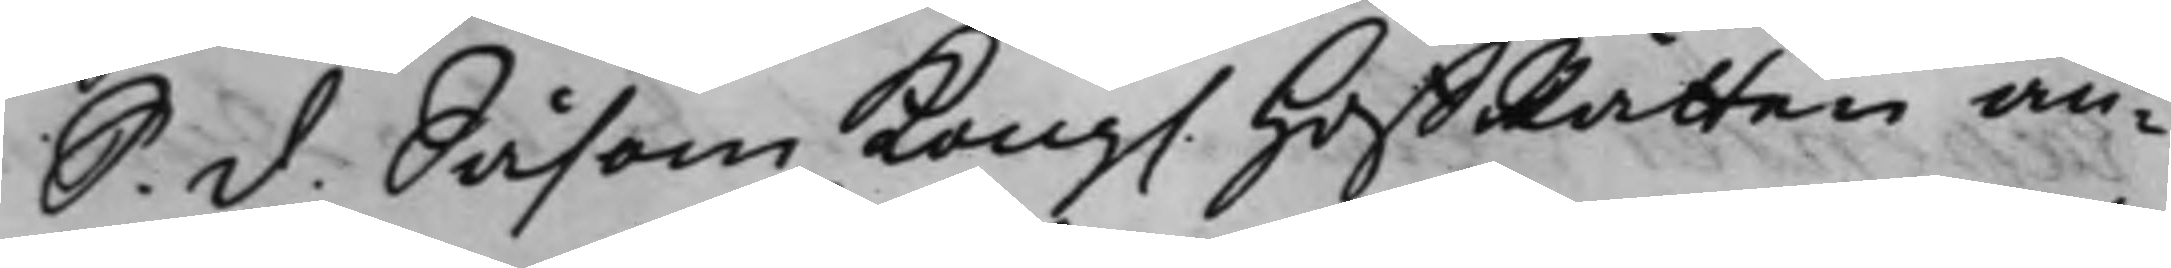S. d. Såsom Kong. HoffRätten an¬
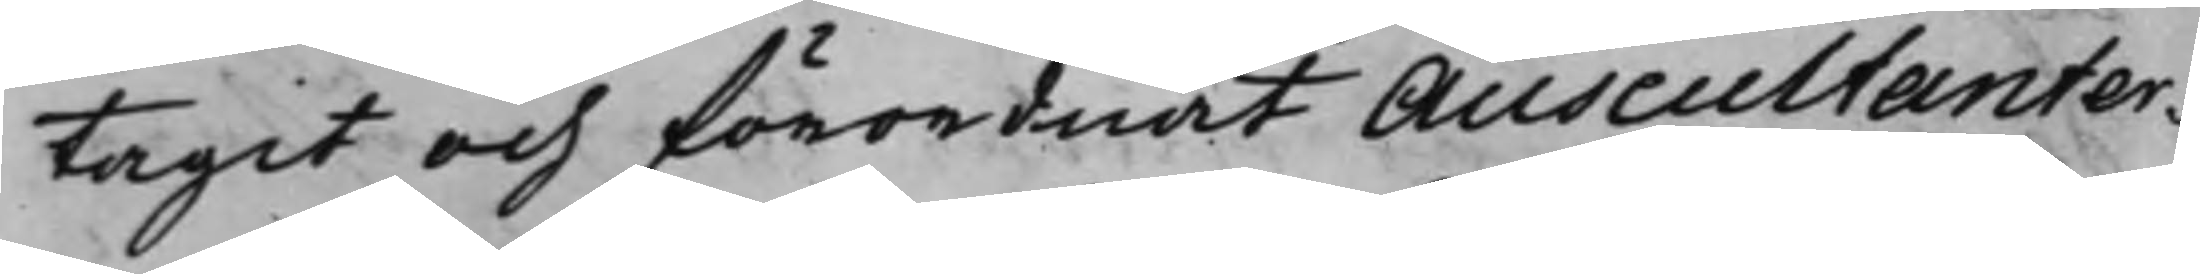tagit och förordnat Auscultanter¬
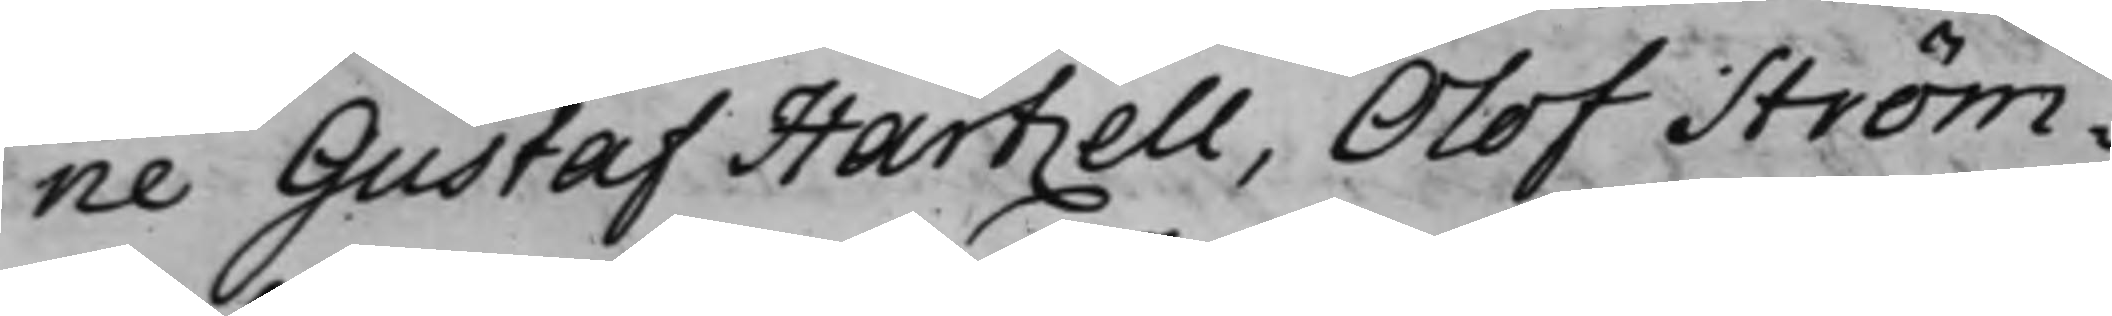ne Gustaf Hartzell, Olof Ström¬
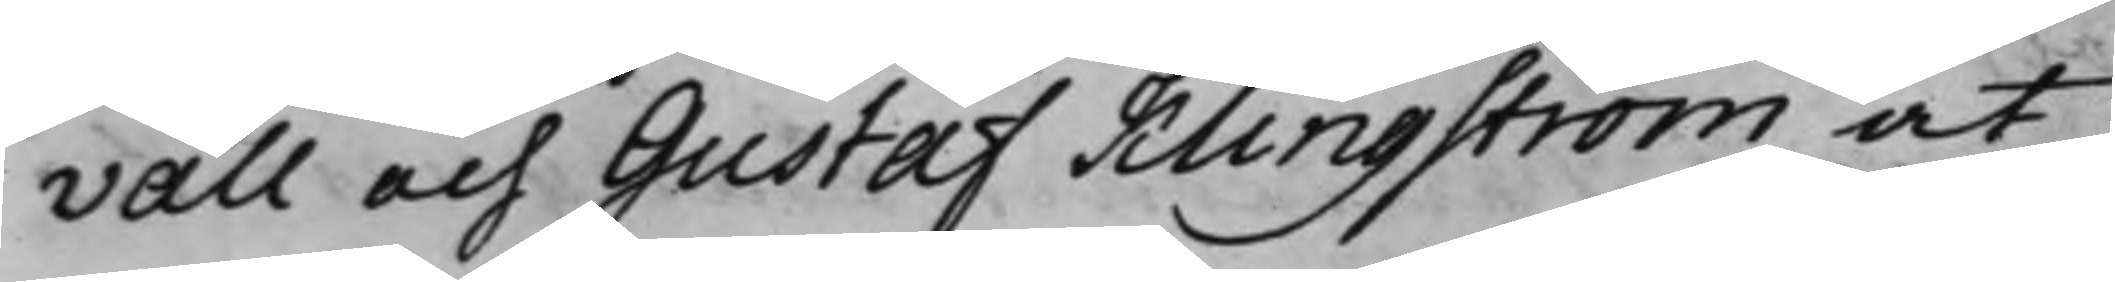vall och Gustaf Klingström at
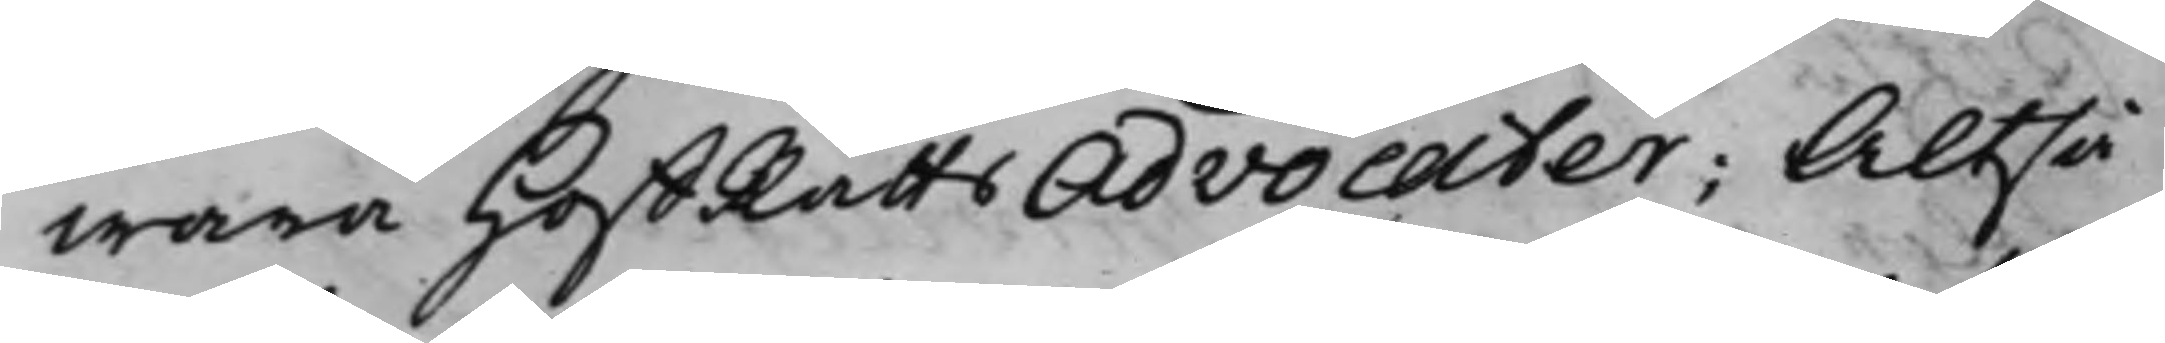wara HoffRätts Advocater; Altså
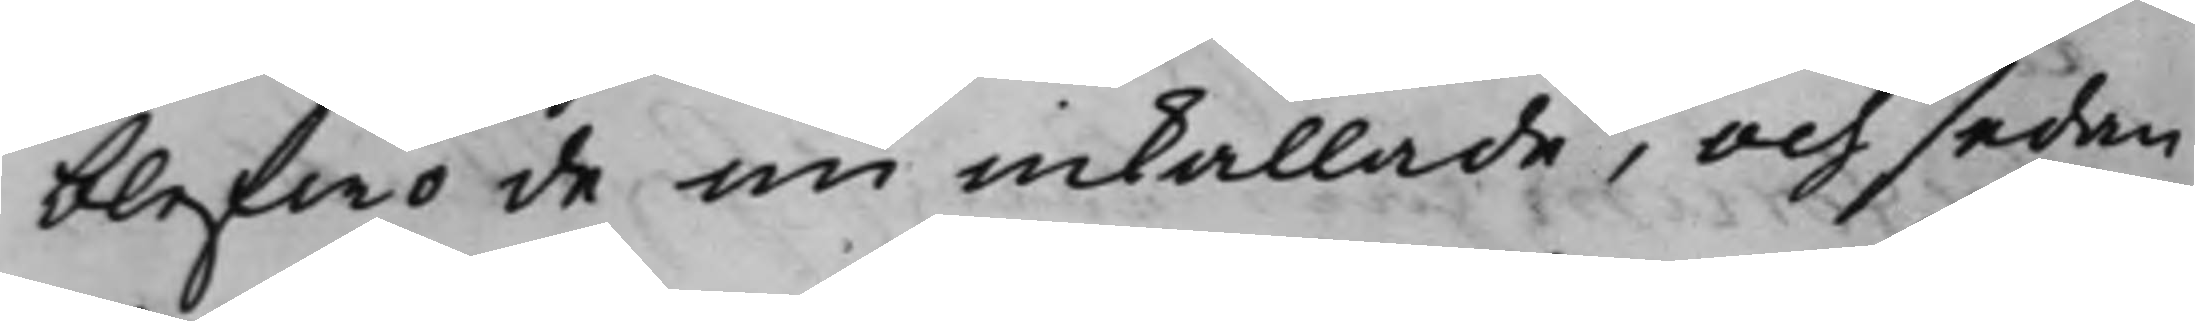blefwo de nu inkallade, och sedan
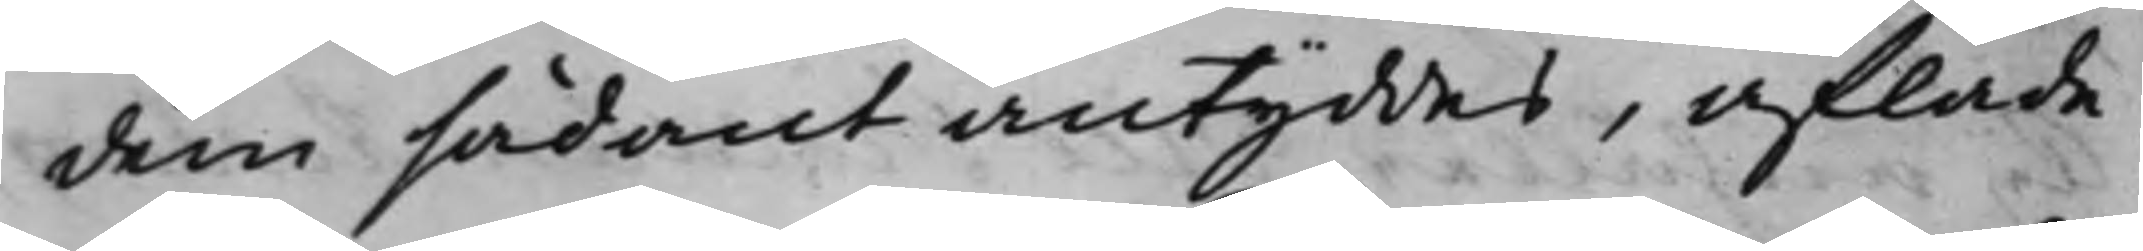dem sådant antyddes, aflade
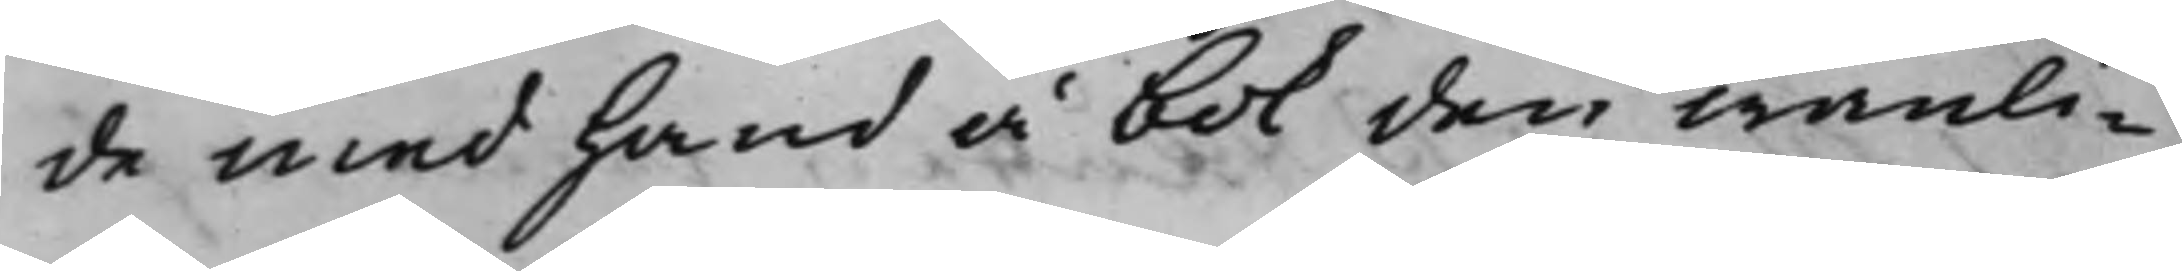de med Hand å Bok den wanli¬
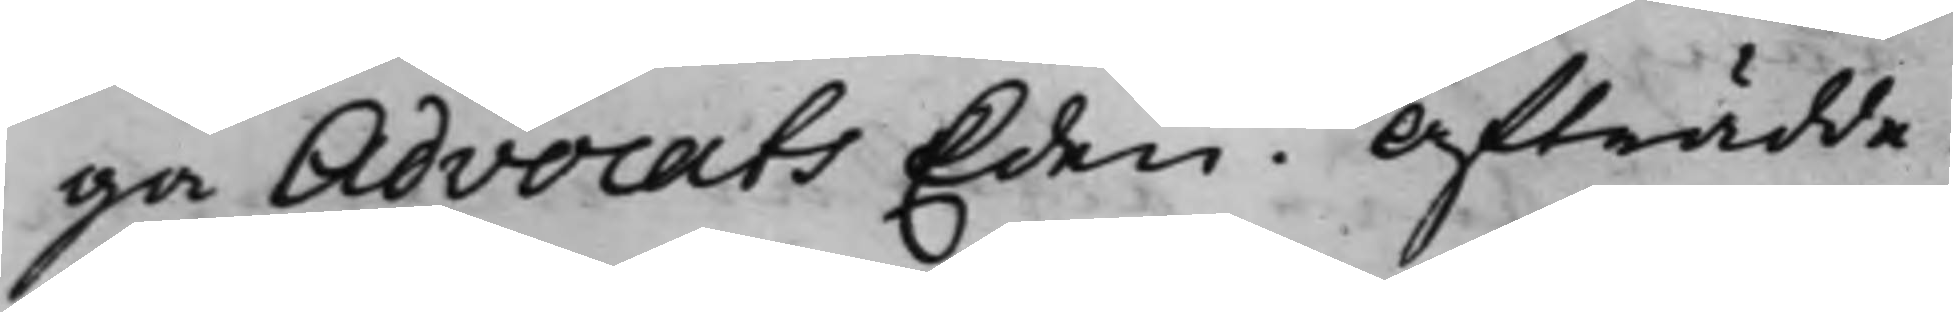ga Advocats Eden. Afträdde.
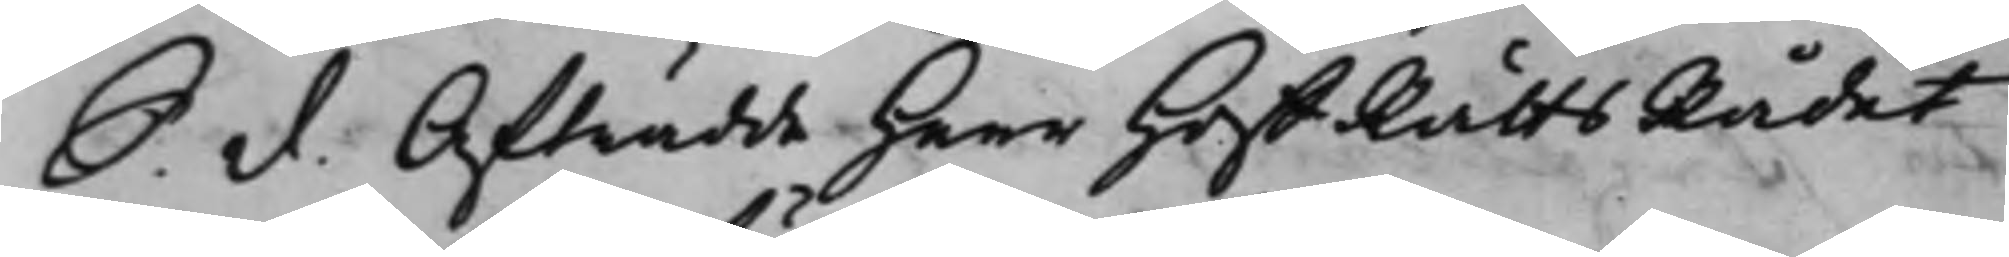S. d. Afträdde Herr HoffRättsRådet
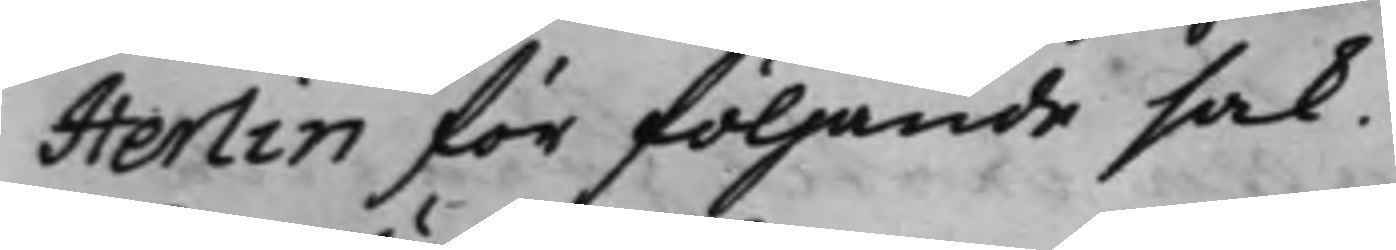Herlin för följande sak.
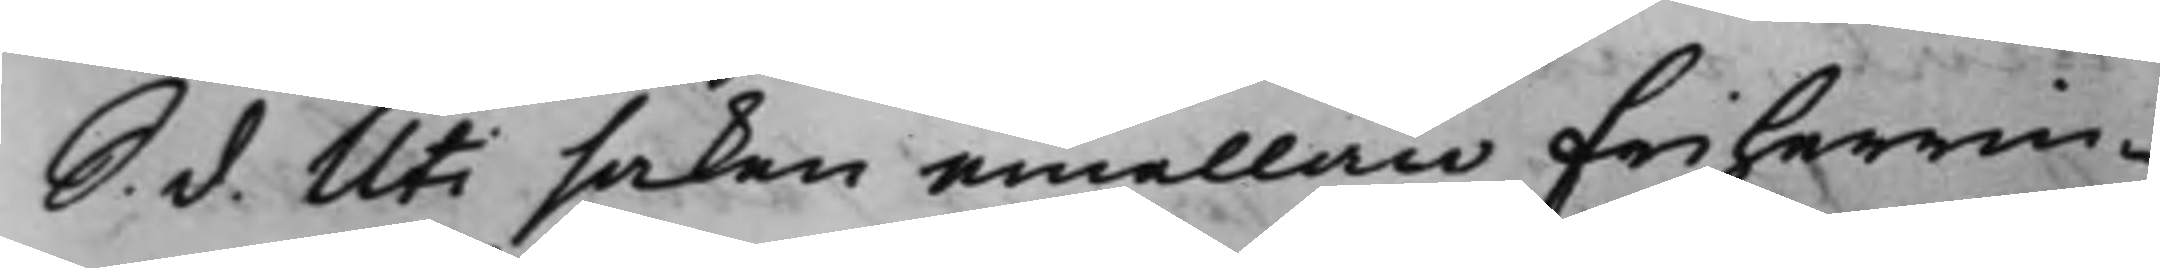S. d. Uti saken emellan Friherrin¬
